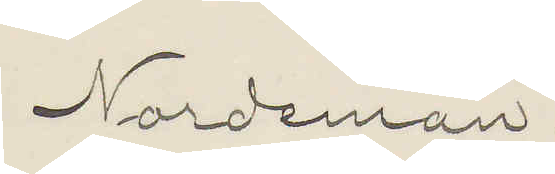Nordeman.
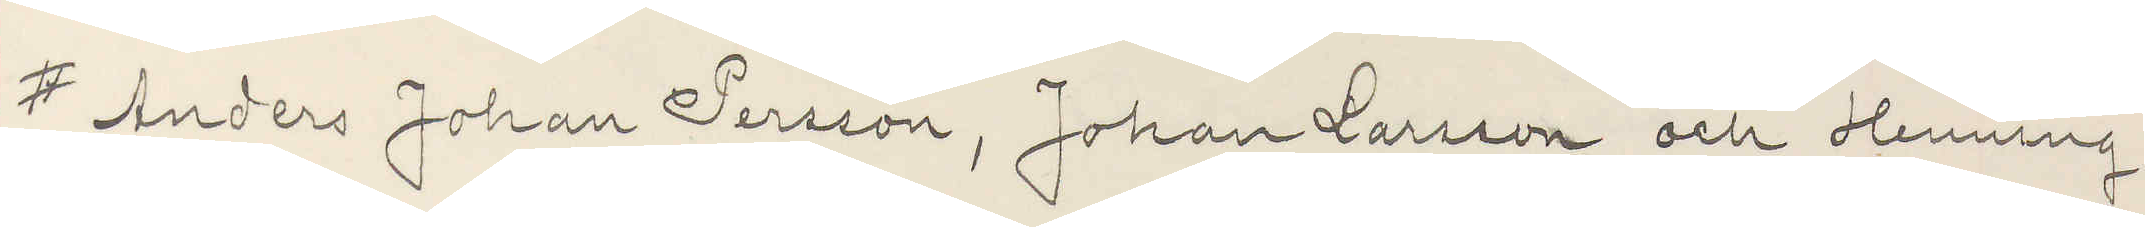# Anders Johan Persson, Johan Larsson och Henning
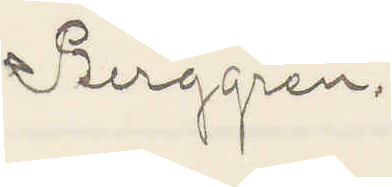Berggren.
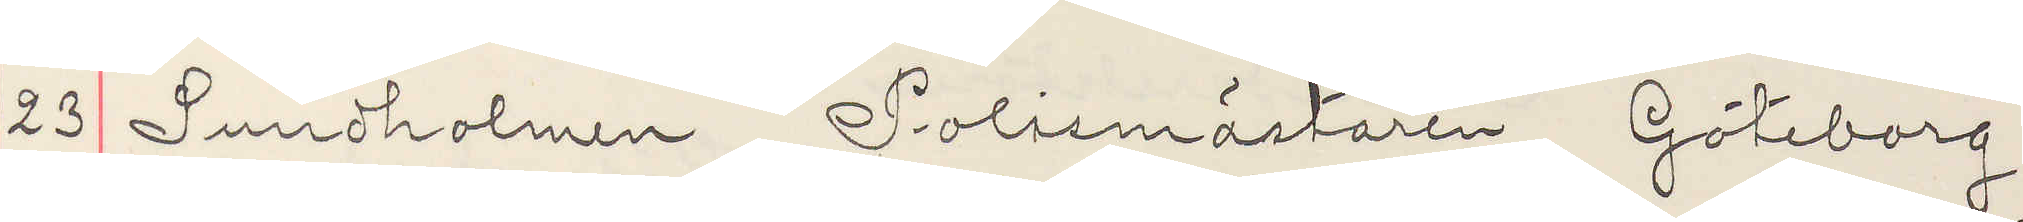23 Sundholmen Polismästaren Göteborg
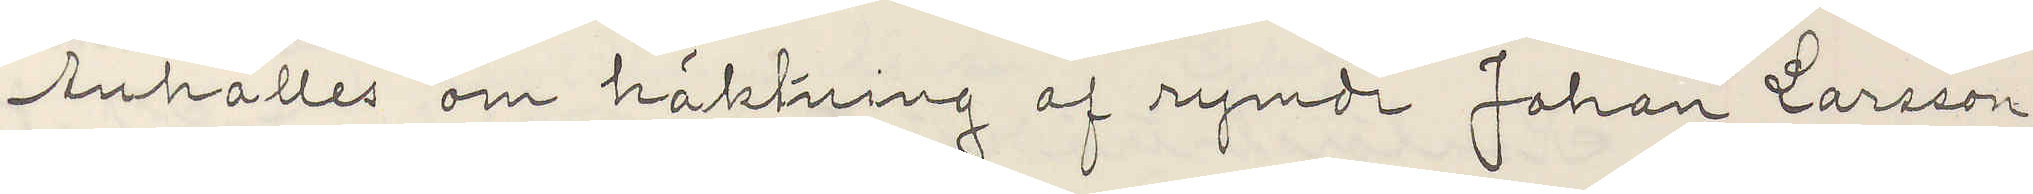Anhålles om häktning af rymde Johan Larsson
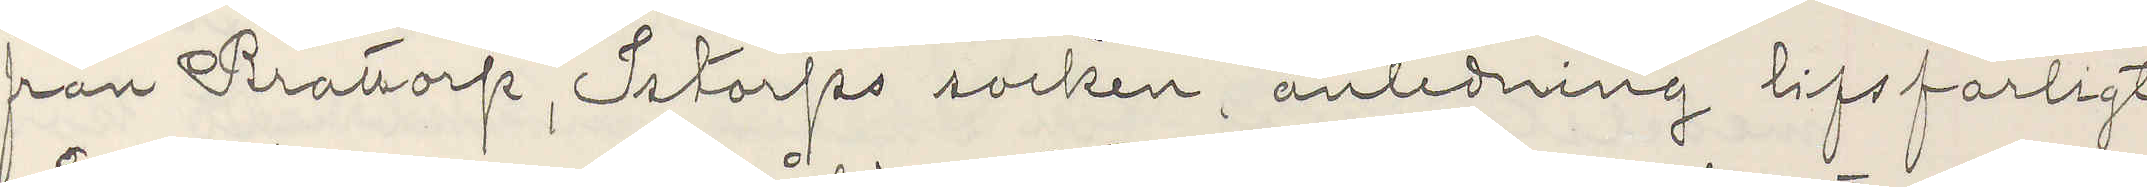från Brattorp, Istorps socken, anledning lifsfarligt
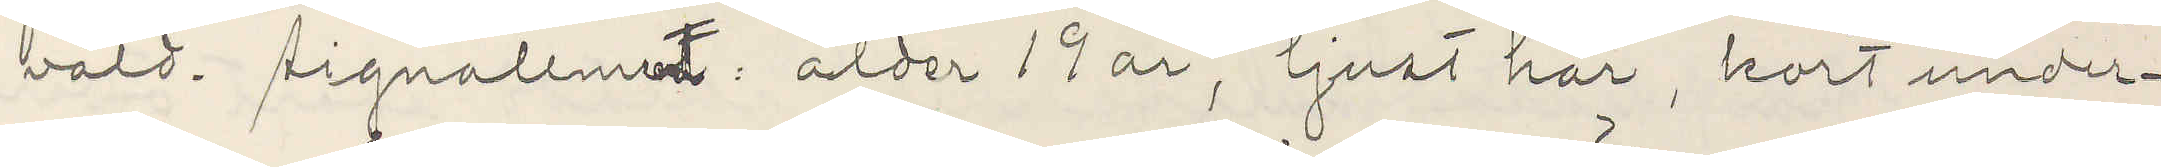våld. Signalement ålder 19 år, ljust hår, kort under¬
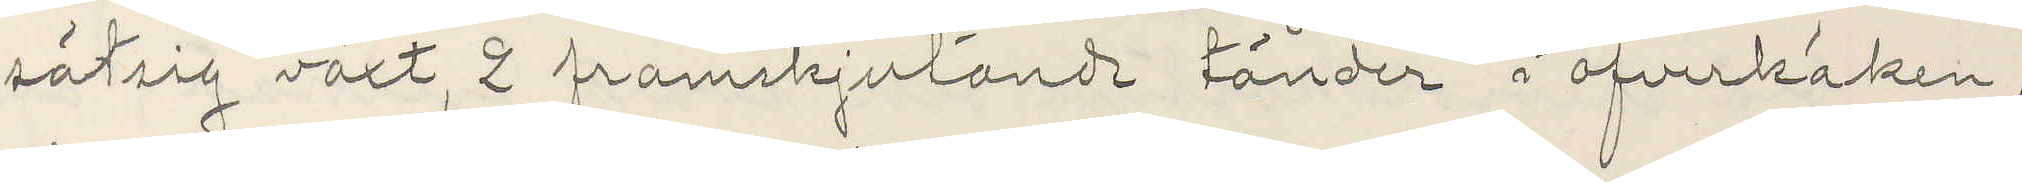sätsig växt, 2 framskjutande tänder i öfverkäken,
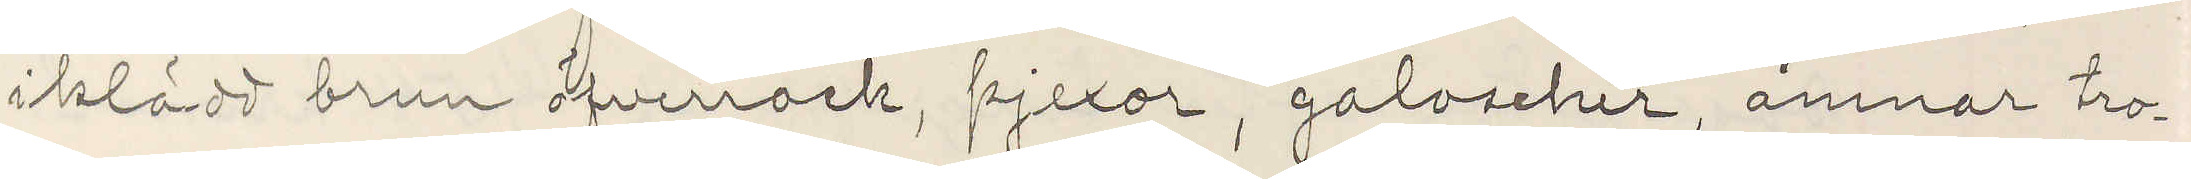iklädd brun öfverrock, pjexor, galoscher, ämnar tro¬
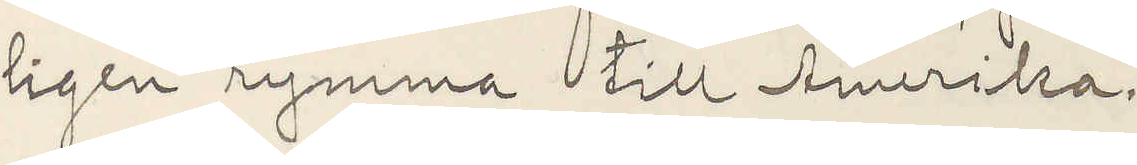ligen rymma till Amerika.
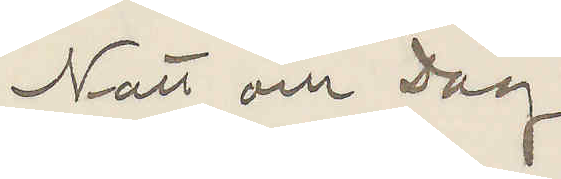Natt och Dag
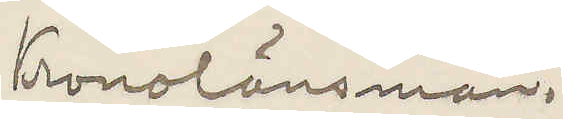Kronolänsman.
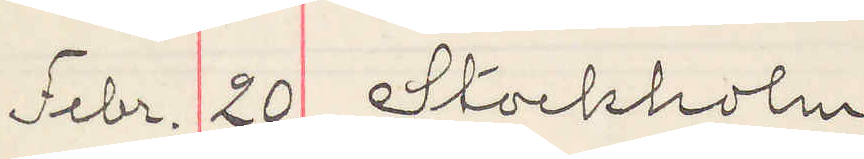Febr. 20 Stockholm
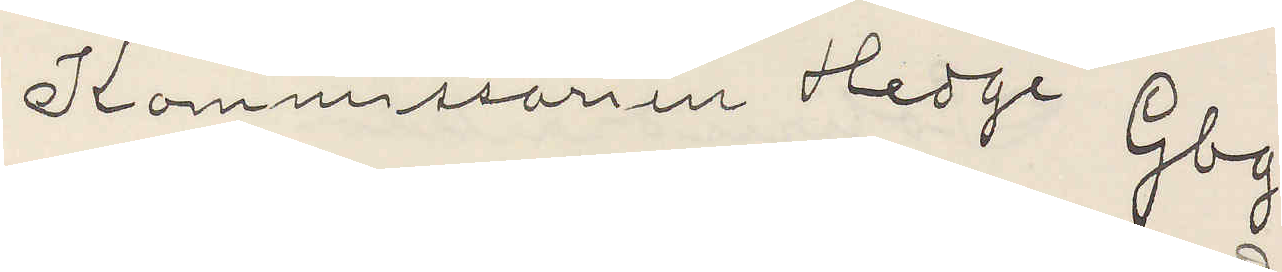Kommissarien Hedge Gbg.
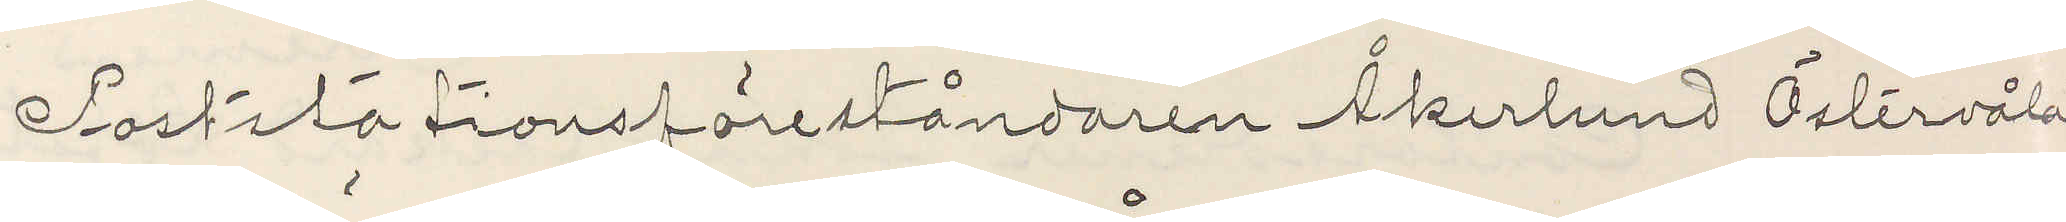Poststationsföreståndaren Åkerlund Östervåla
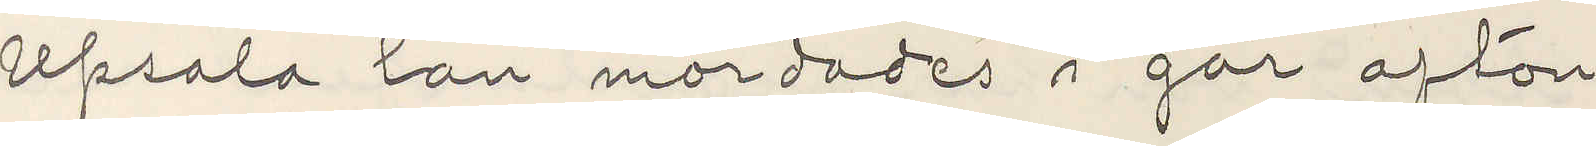Upsala län mördades i går afton.
